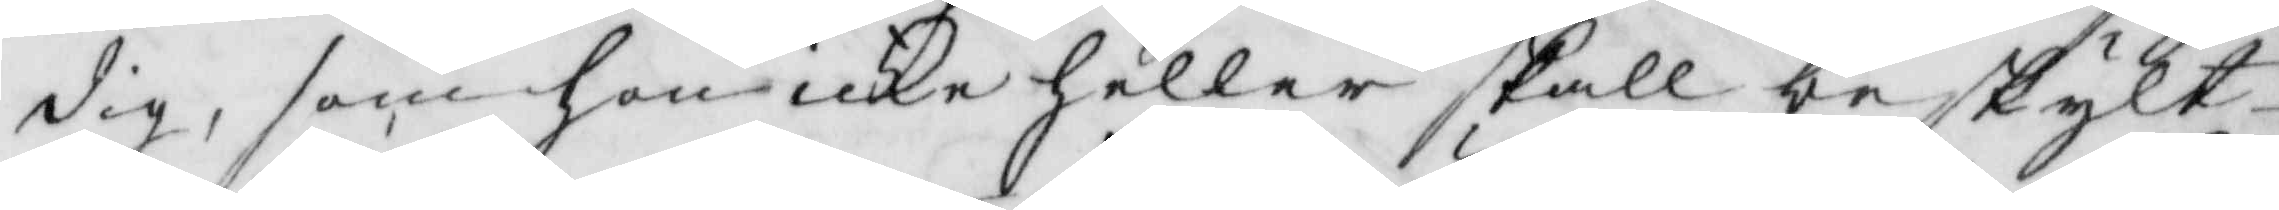dig, som hon icke heller skall beskylt
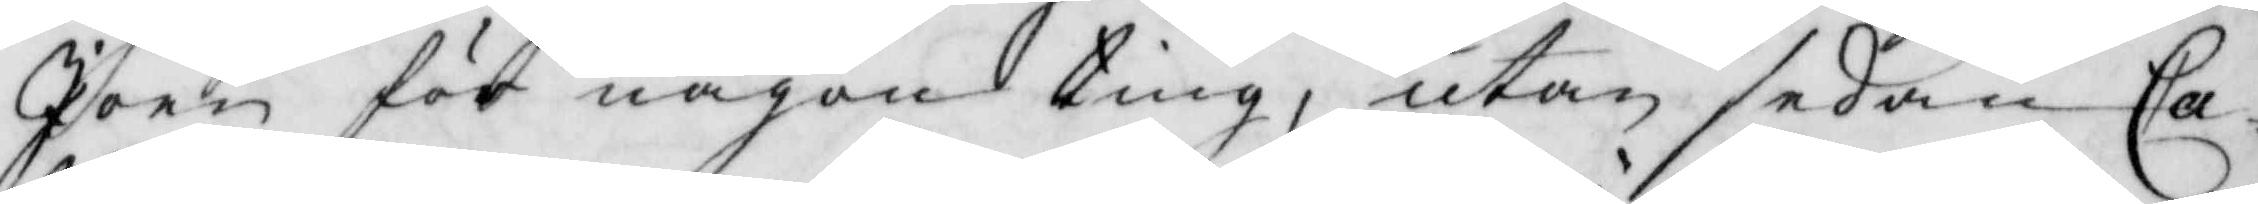Joen för någon ting, utan sedan Ca¬
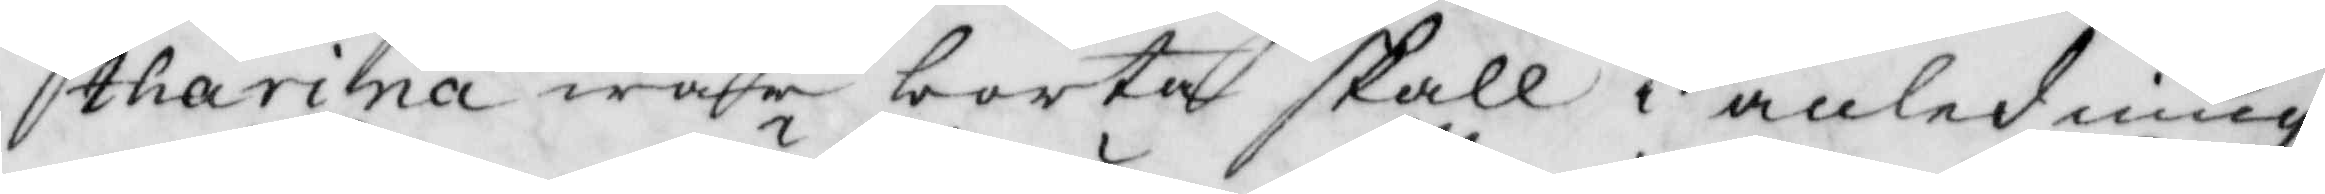tharina war borta skall i anledning
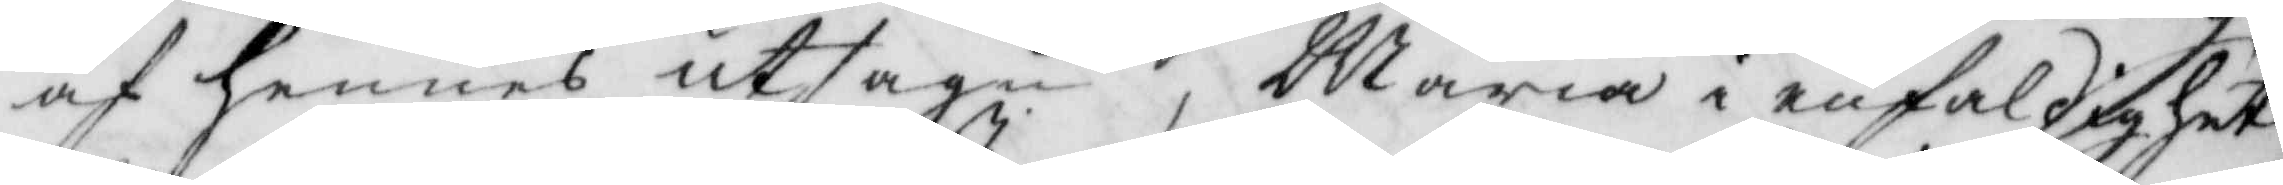ah hennes utsagu, Maria i enfaldighet
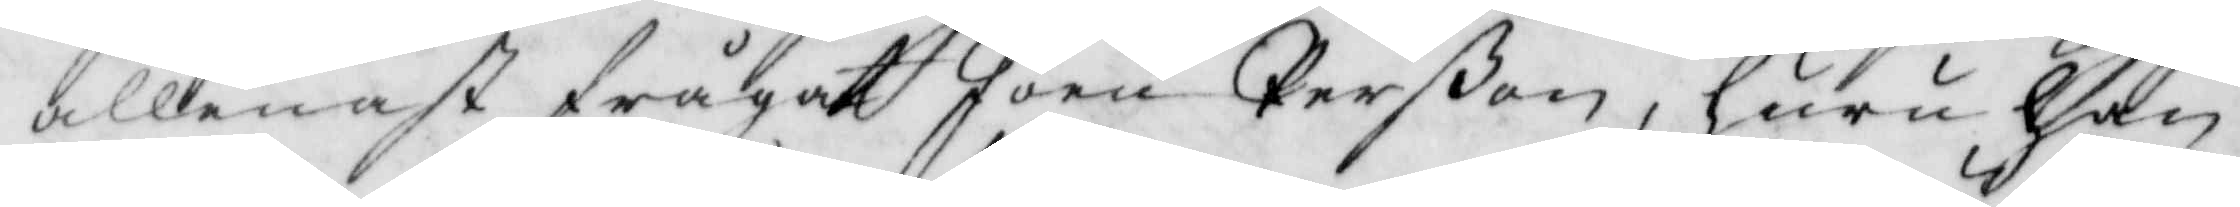allenast frågat Joen Perßon, huru han
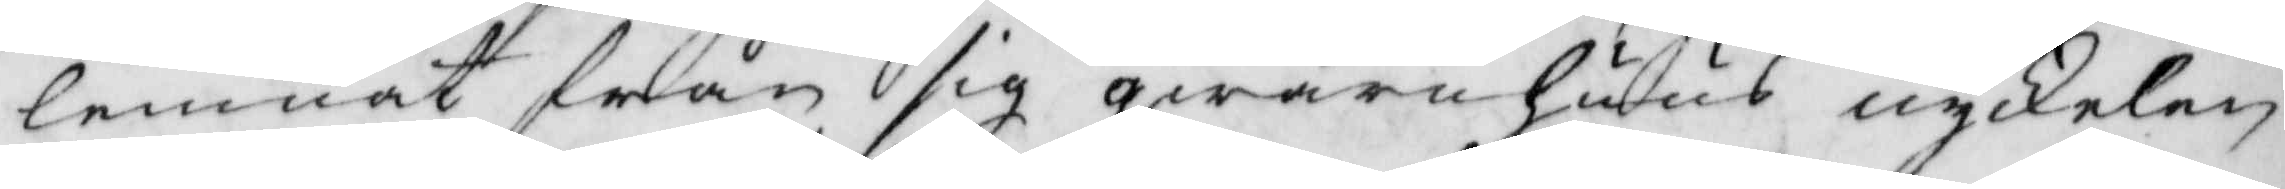lemnat från sig qwarnhuus nyckelen
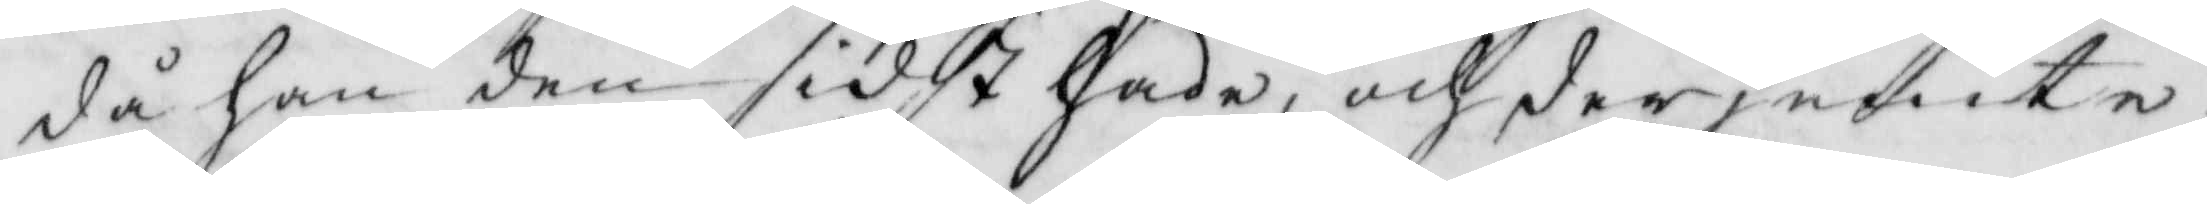då han den sidt hade, och derjemte
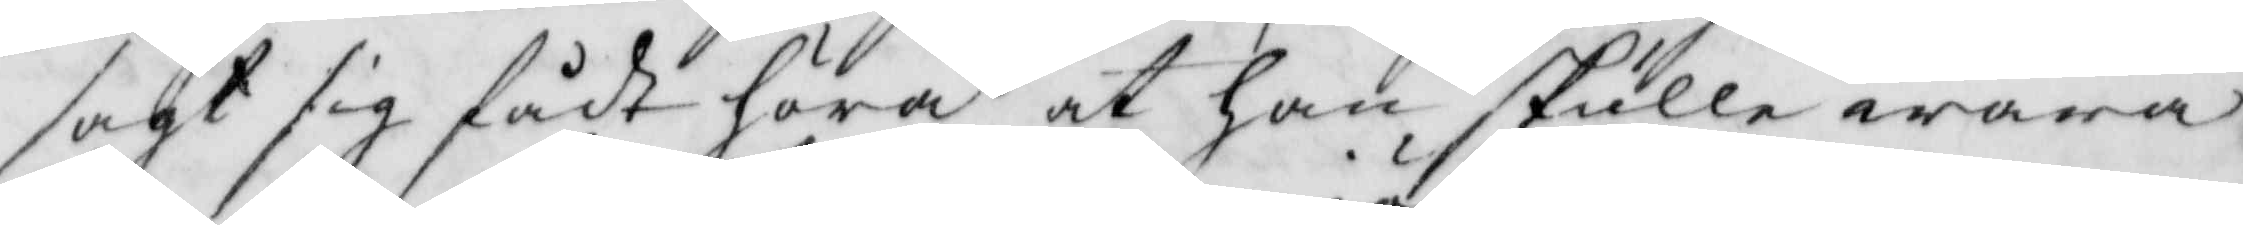sagt sig fådt höra at han skulle wara
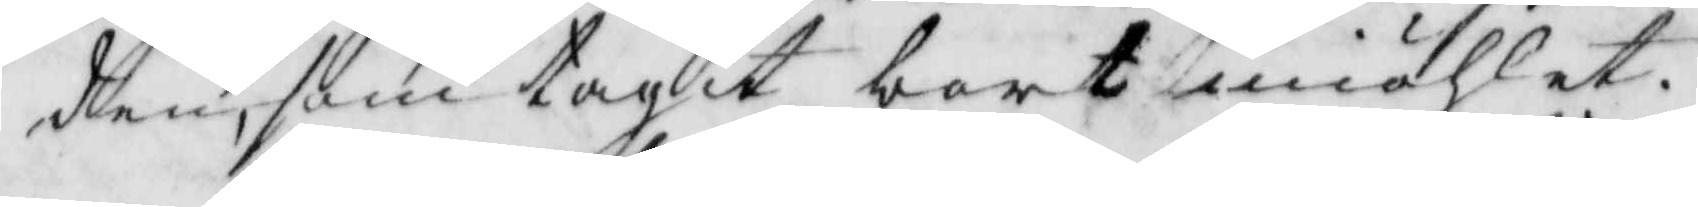den, som tagit bort miöhlet.
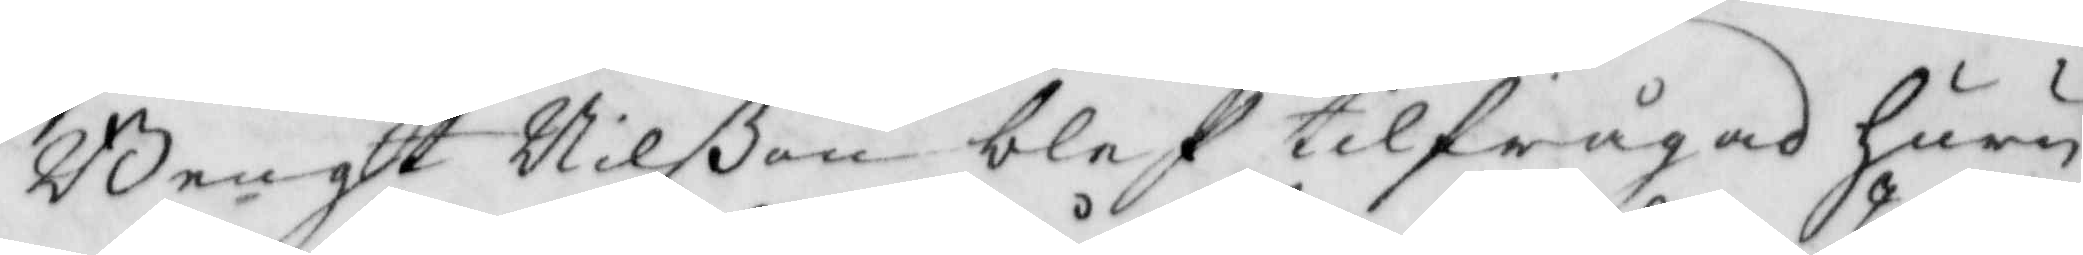Bengt Nilßon blef tilfrågad huru
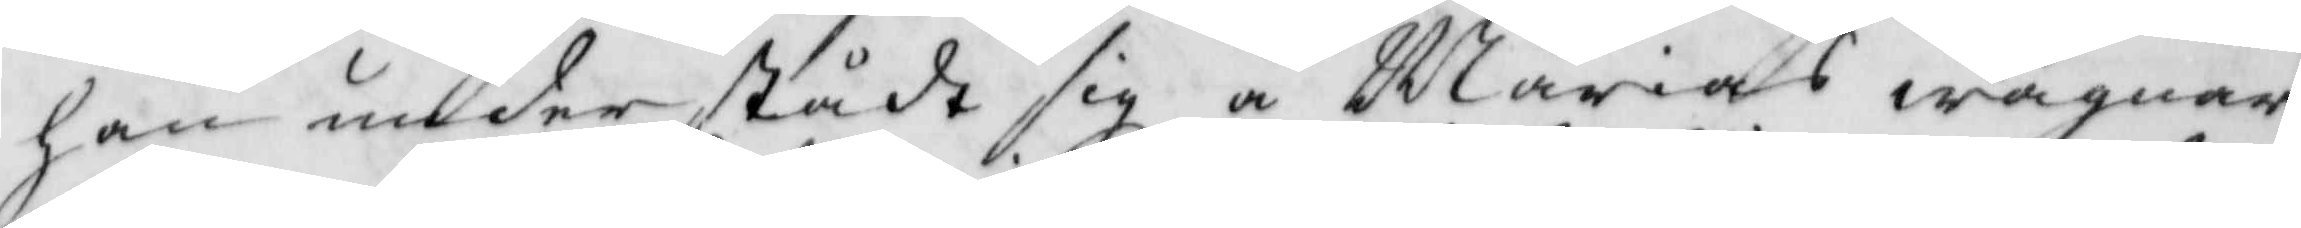han understådt sig å Marias wägnar
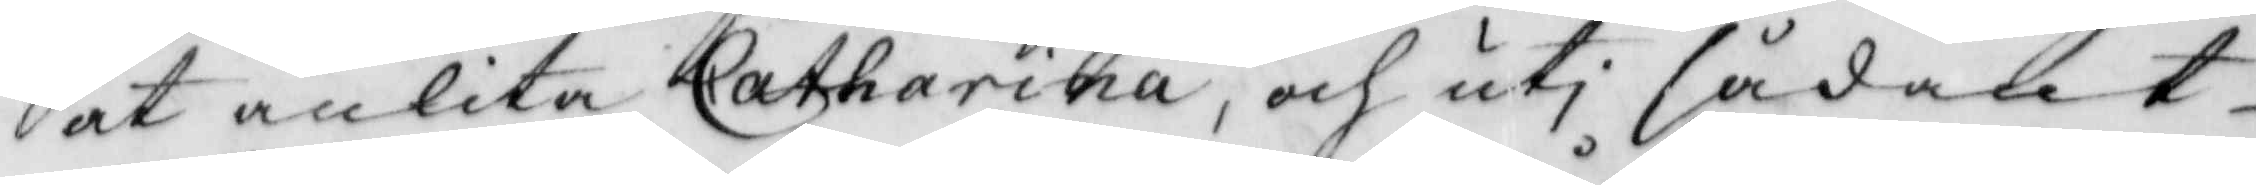at anlita Catharina, och uti sådant
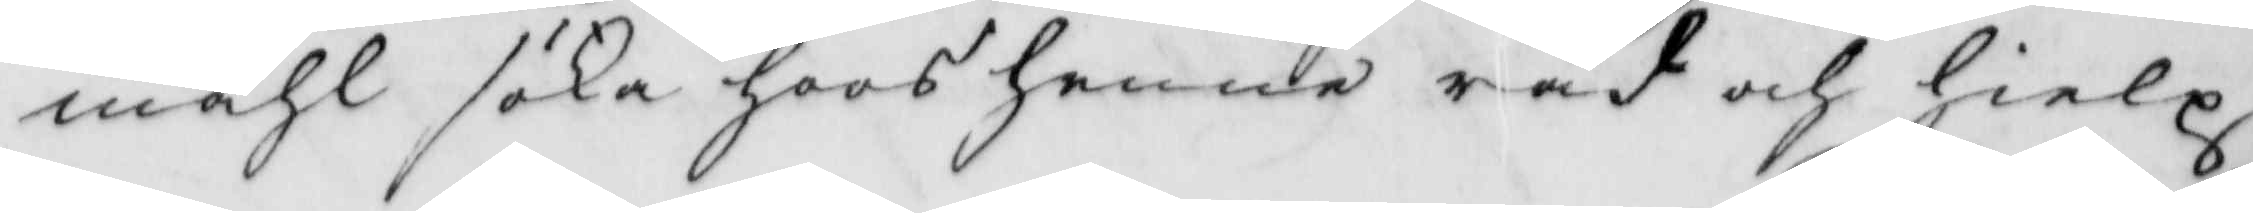måhl söka hoos henne råd och hielp
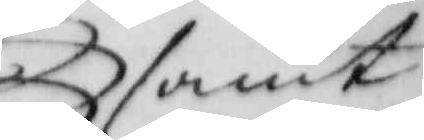samt
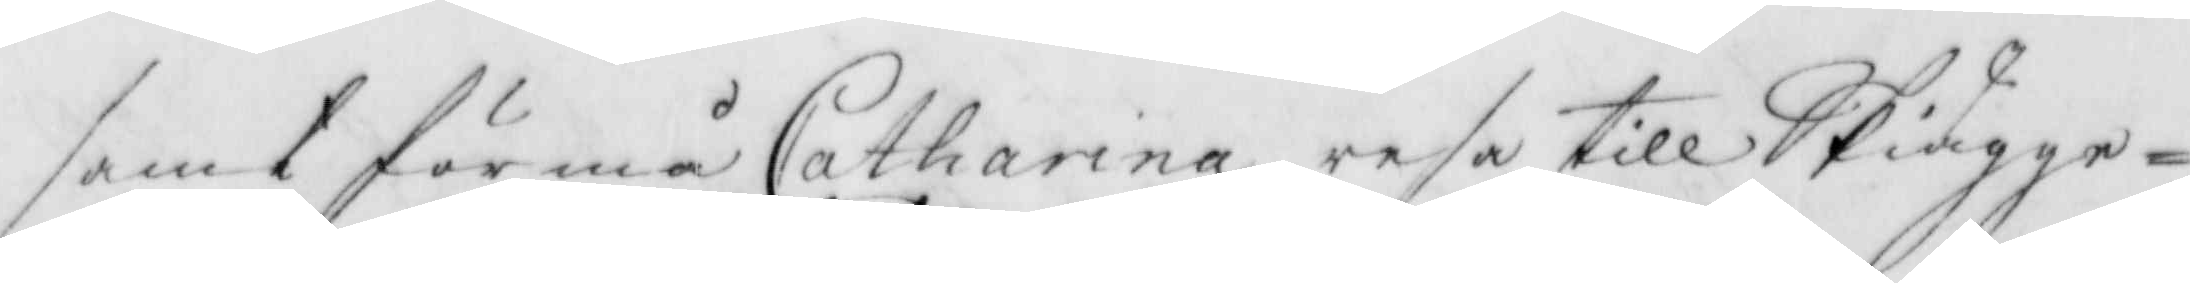samt förmå Catharina resa till Skiägge¬
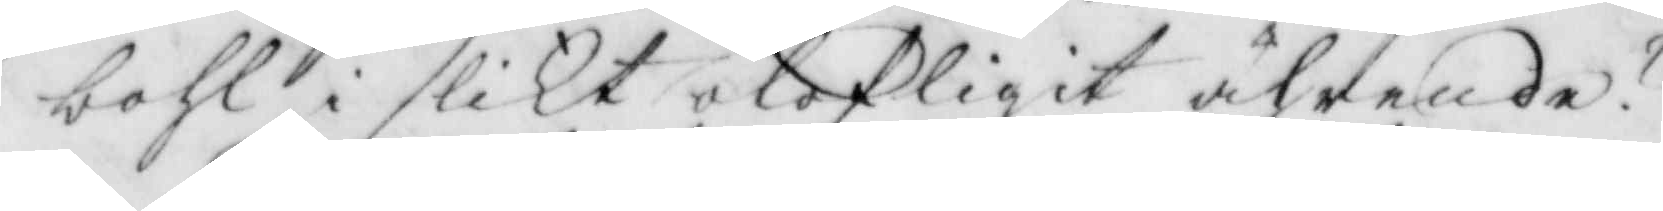bohl i slikt olofligit ährende?
